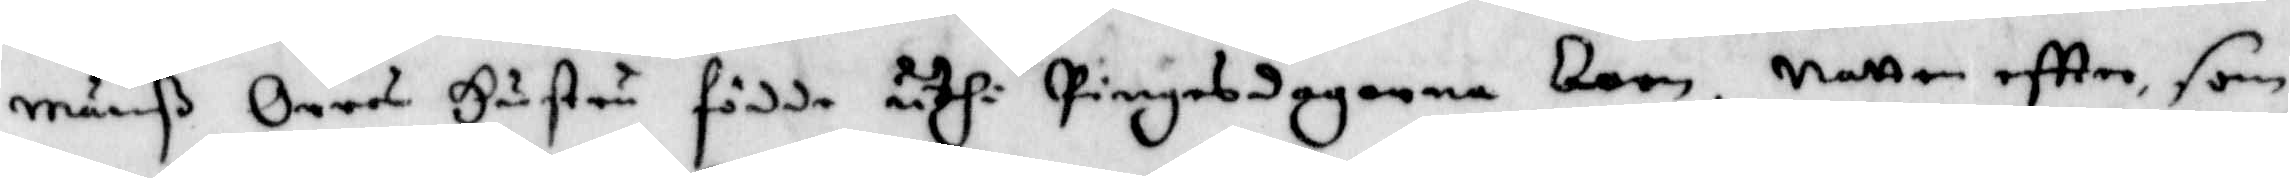Månß Orres Hustru födde uthi Pingesdagarna barn. Natten eftter, som
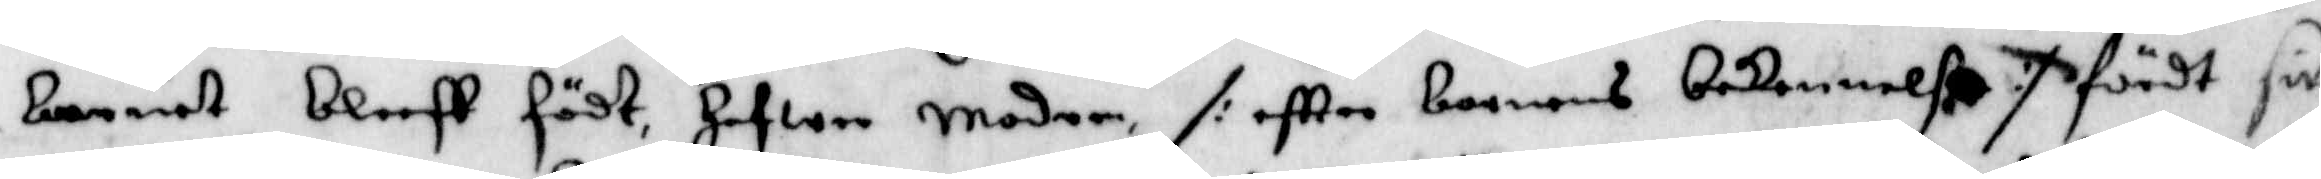Barnet Bleeff födt, hafwer Modern, /: eftter barnens Bekennelße :/ fördt sitt
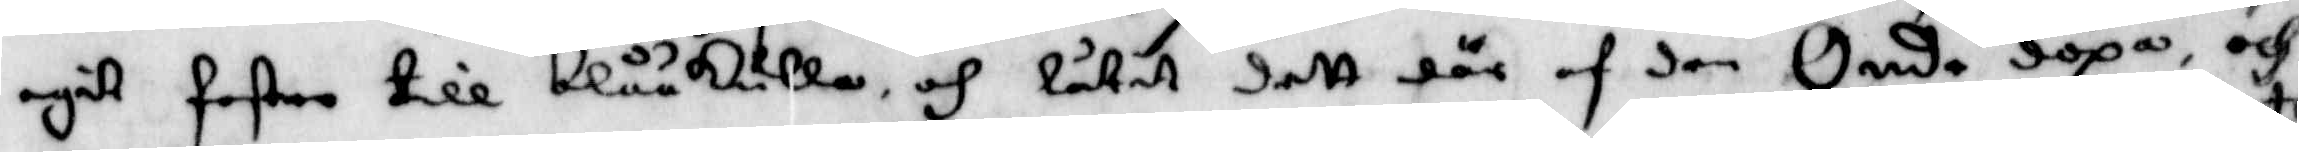egit foster till Blåkulla, och låtit dett där af den Onde döpas, och
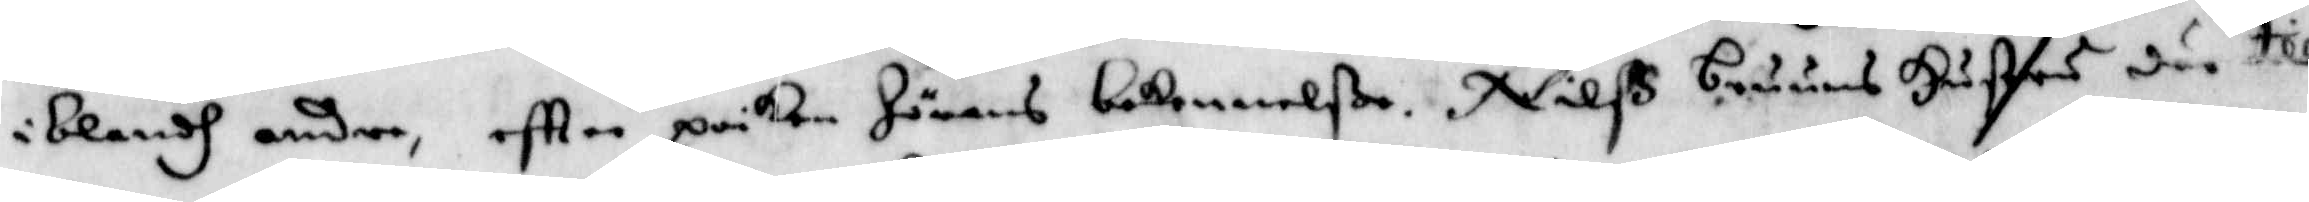iblandh andre, eftter poiken Jörans bekennelße, Nilss Bruuns Hustru där till
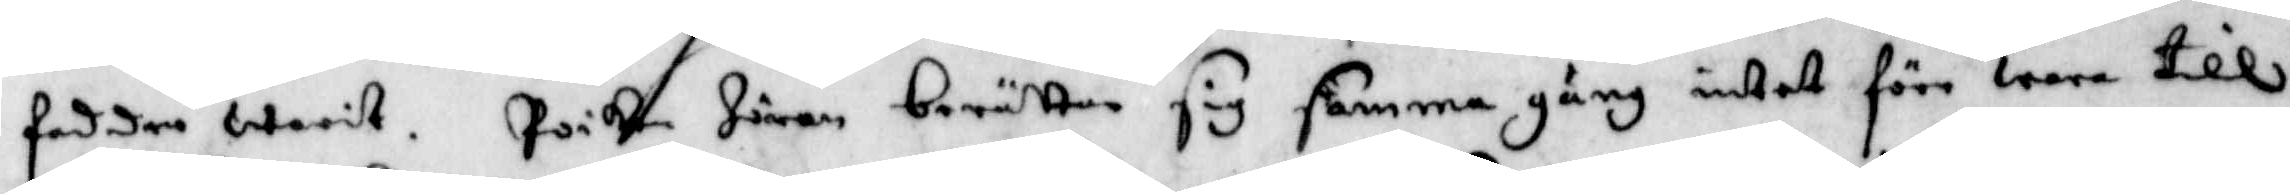fadder warit. Poiken Jöran Berättar sig samma gång intet förr wara till
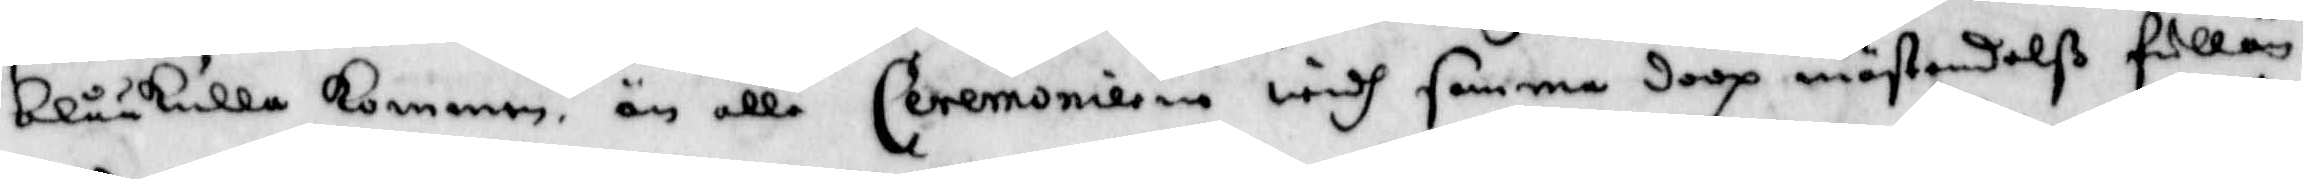Blåkulla kommen, än alla Ceremonierne widh samma doop mästandelß fullän¬
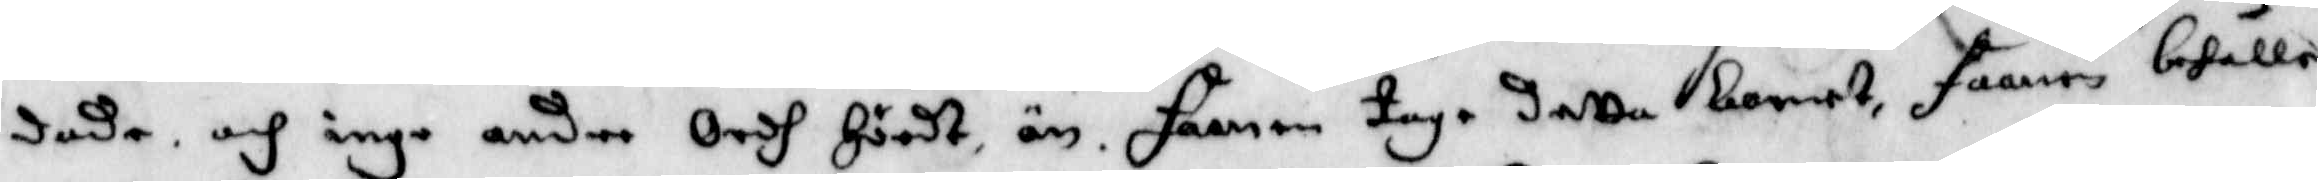dade, och inga andre Ordh Hördt än, Faanen tage Detta barnet, faanen behåller
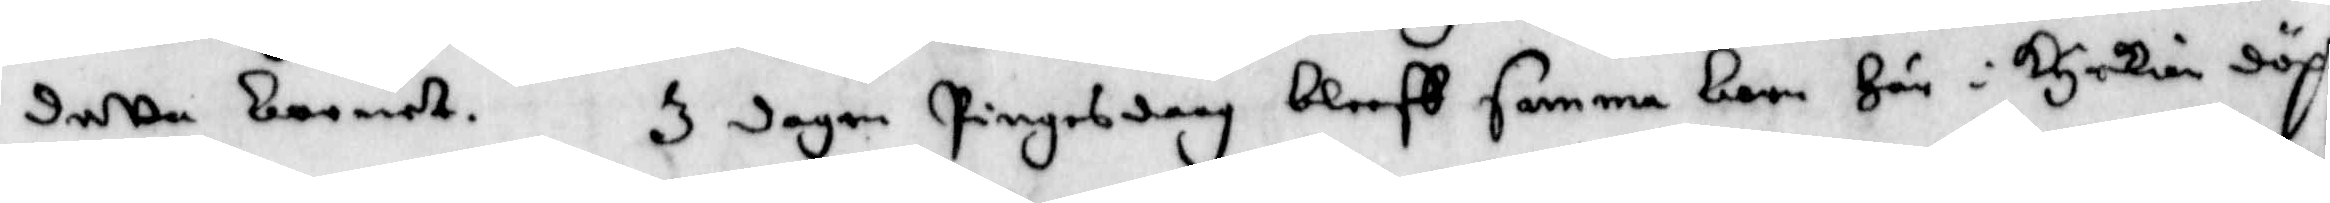detta barnet. 3 dagen Pingesdaag Bleeff samma barn Här i kyrkian döpt
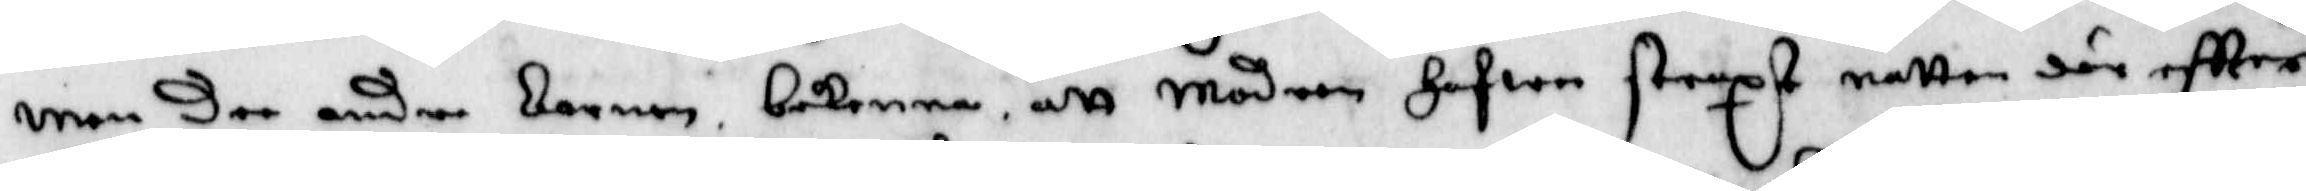men Dee andre Barnen Bekenna, att Modern Hafwer straxt natten där eftter
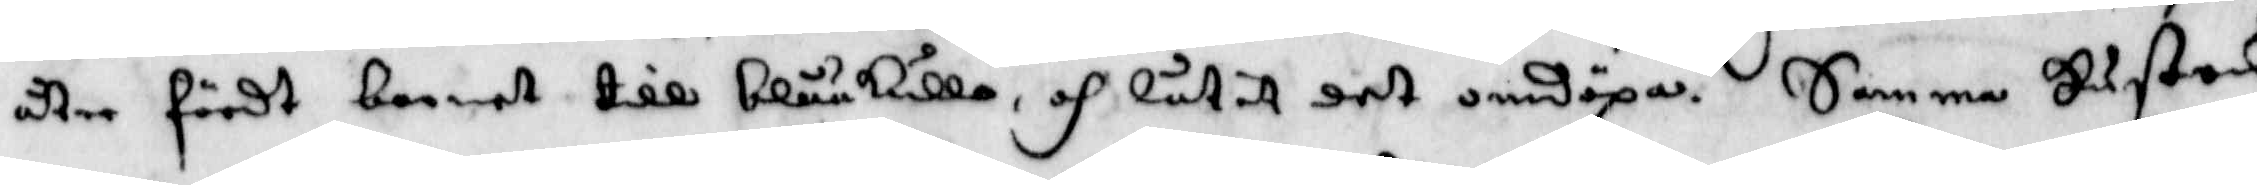åter fördt Barnet till Blååkulla, och låtit det omdöpa. Samma Hustru
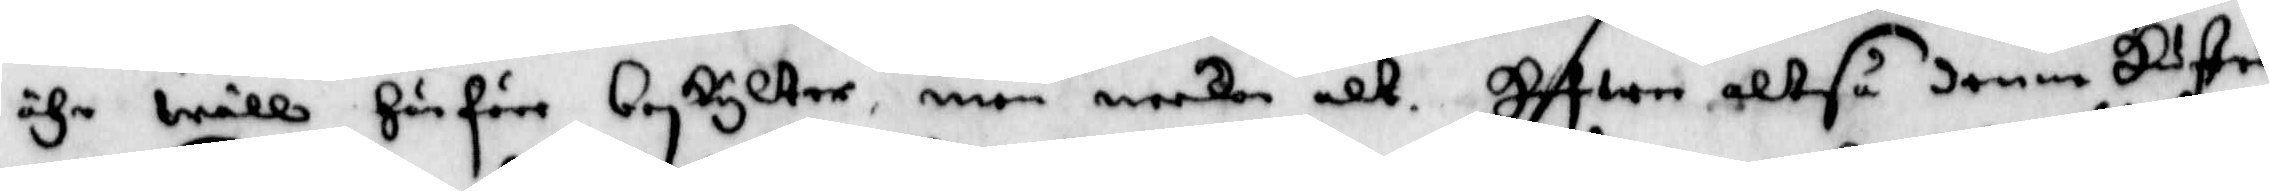ähr wäll Härföre Beskylter, men neekar alt. Hafwer altså denne Hustrun
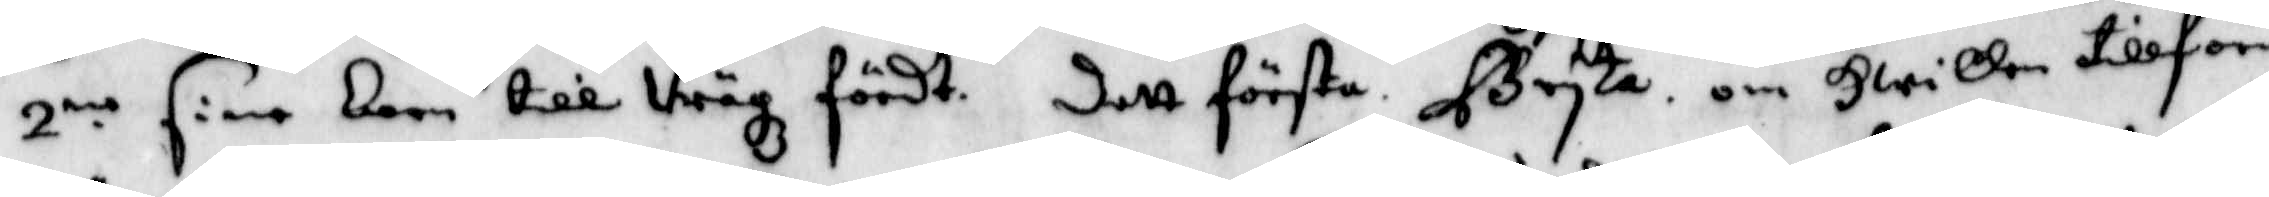2.ne sine barn till Wägz fördt. dett första Bryta om Hwilken tillförene
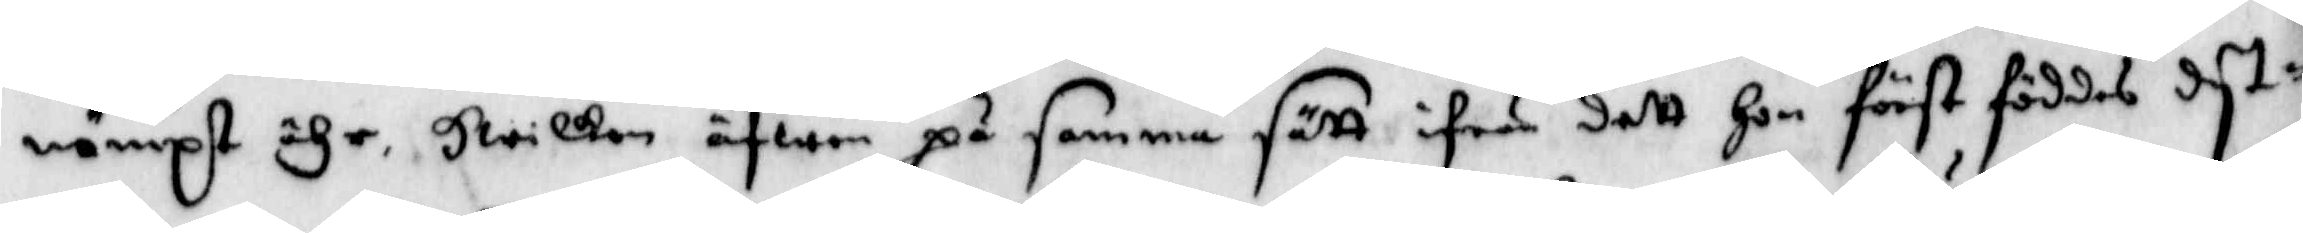nämpst ähr, Hwilken äfwen på samma sätt ifrån dett Hon först föddes dyt¬
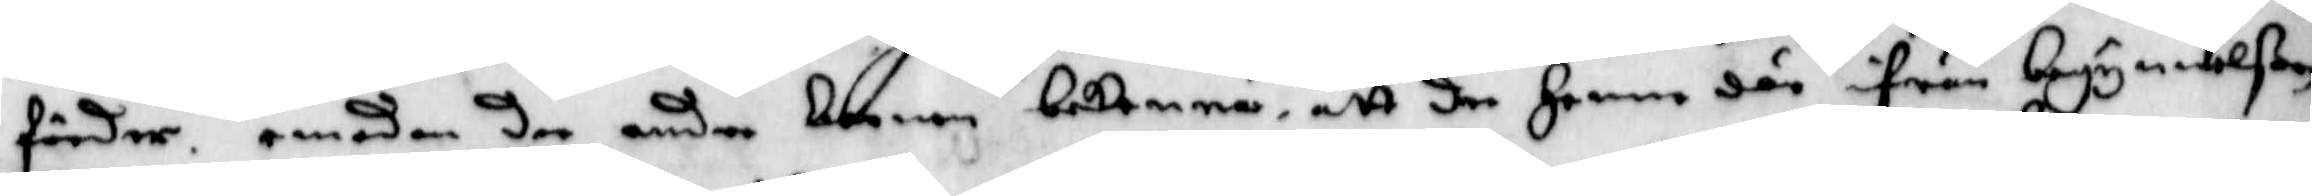förder, emedan dee andre barnen bekenna, att dee Henne där ifrån begynnelßen
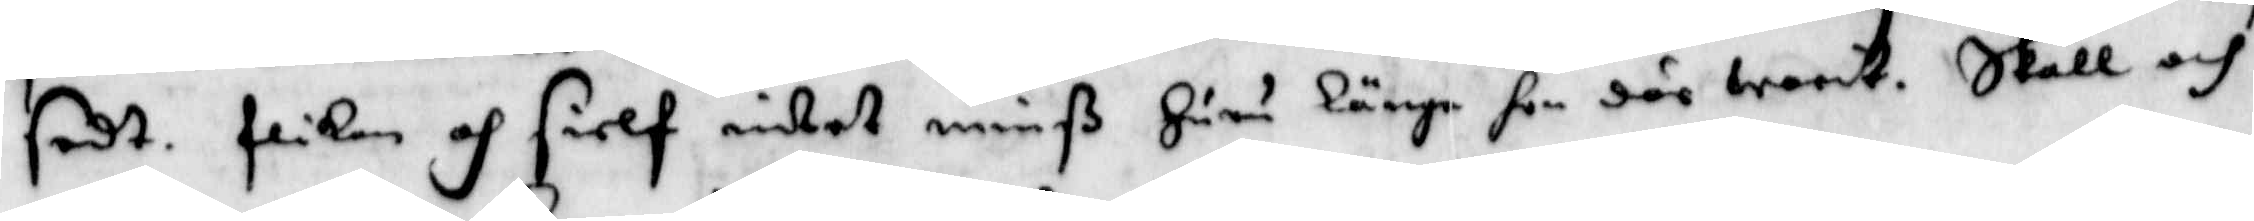sedt. flikan och sielf intet minß Huru länge hon där warit. Skall och
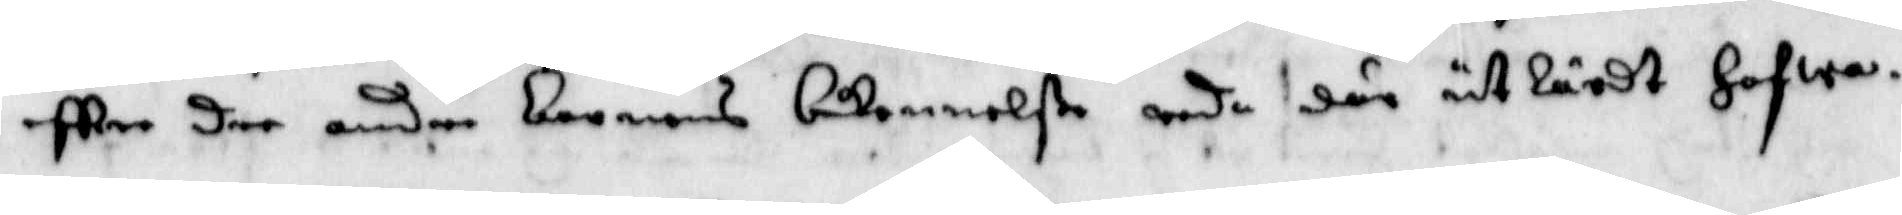eftter dee andre barnens bekennelße reda där utlärdt Hafwa.
